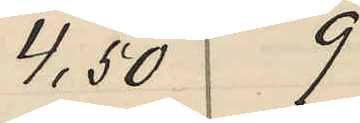4,50 9
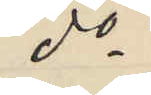do
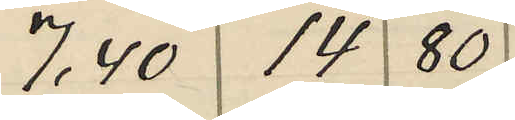7,40 14 80
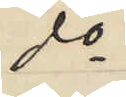do
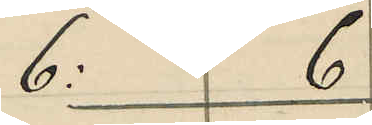6: 6
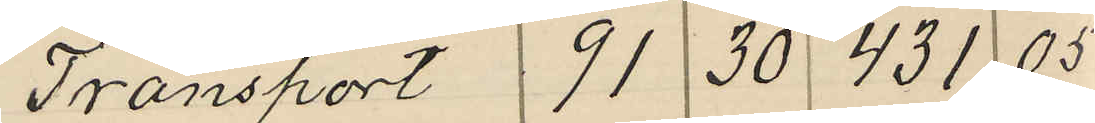Transport 91 30 431 05
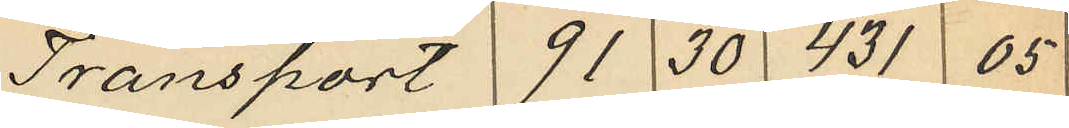Transport 91 30 431 05
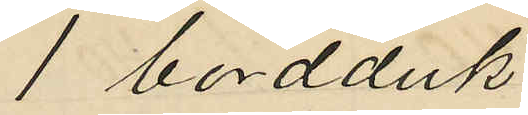1 bordduk
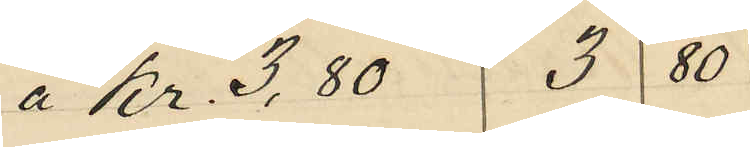 Kr. 3,80 38 0
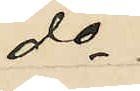do
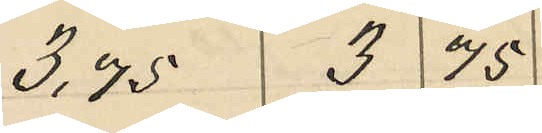3,75 3 75
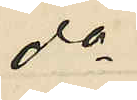do
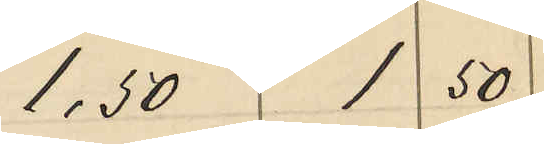1,50 1 50
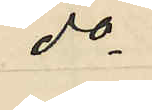do
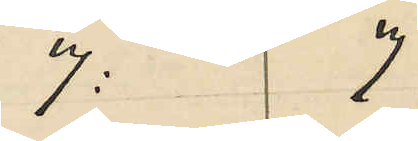7: 7
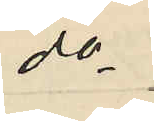do
